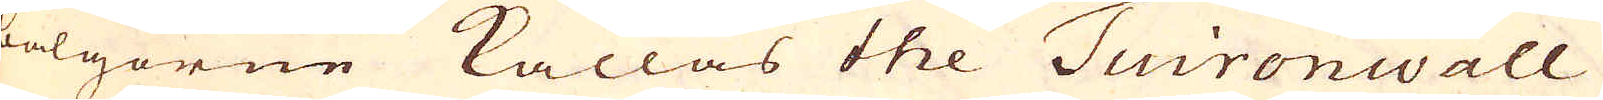bälgorne kallas the Tuironwall
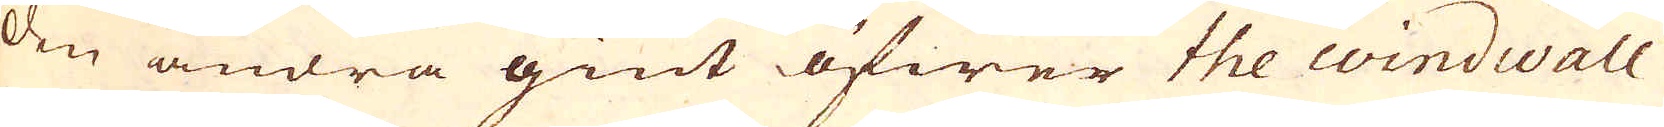den andra giut öfwer the windwall
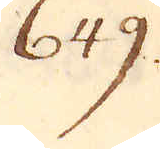649.
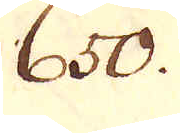650.
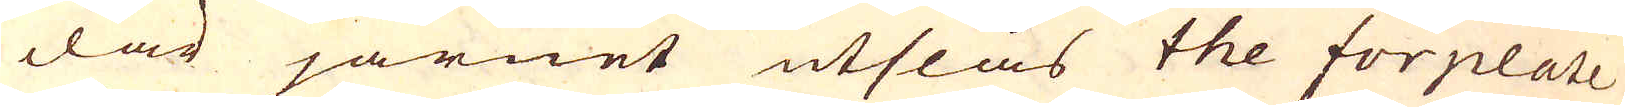där järnet utslås the forplate
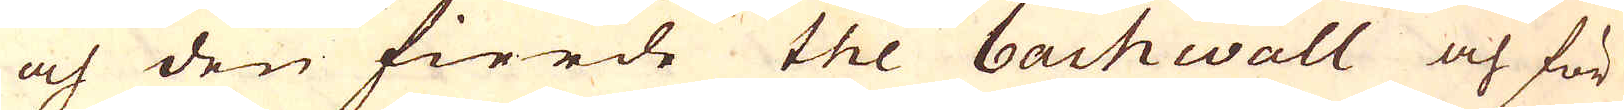och den fierde the bachwall och för
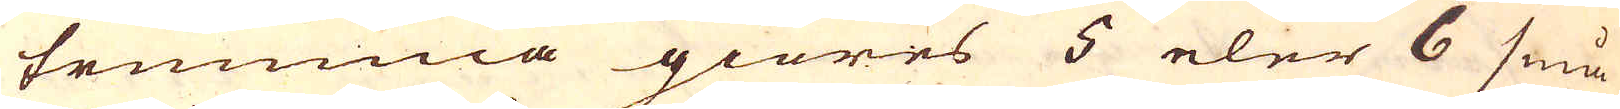trumma giöres 5 eler 6 små
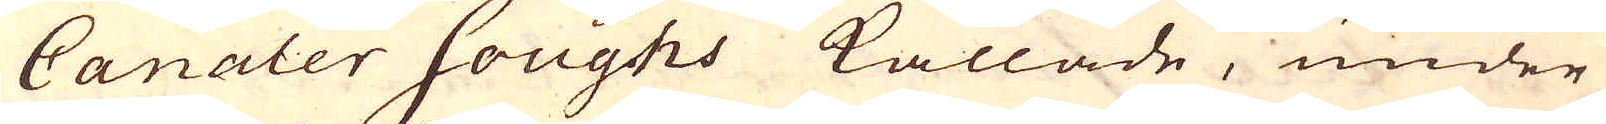Canaler Houghs kallade, under
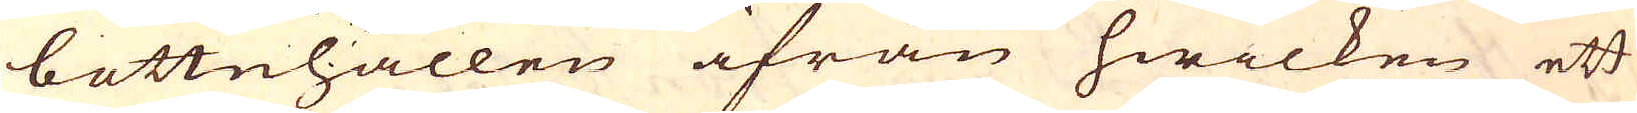bottnhållen ifrån hwilken ett
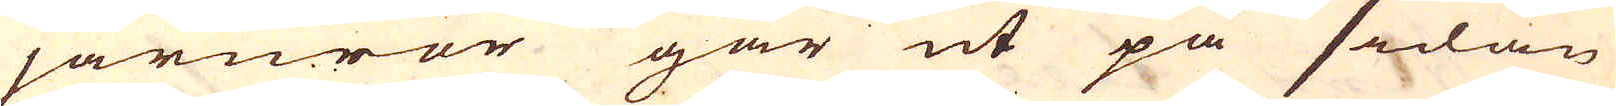järnrör går ut på sidan
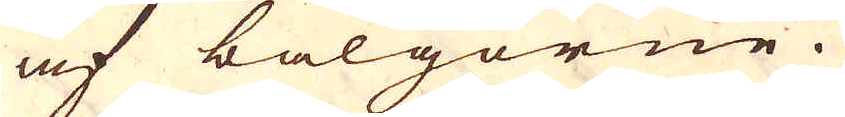af bälgorne.
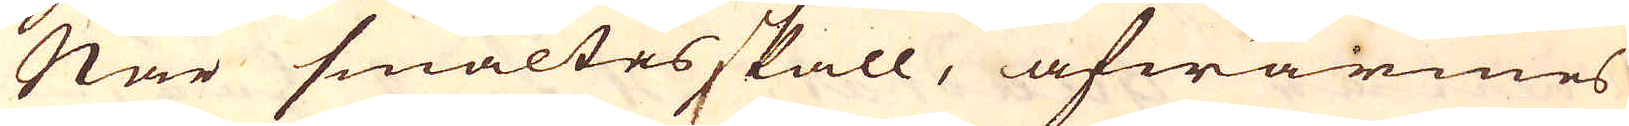När smältas skall, afwärmes
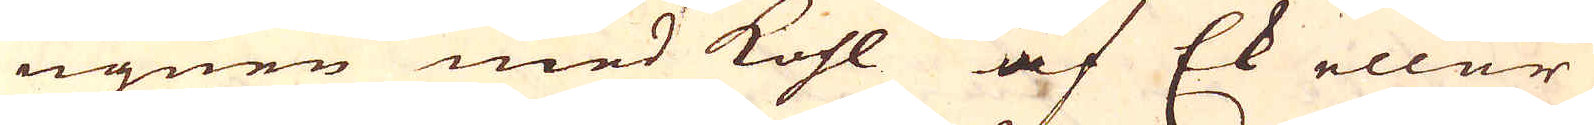ugnen med kohl af Ek eller
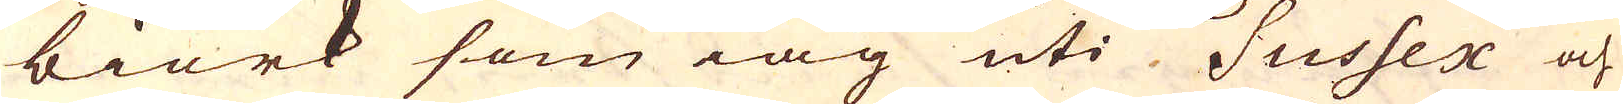biörk som iag uti Sussex och
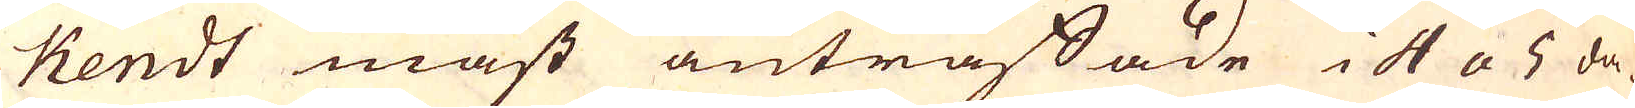Kendt mäst anträffade i 4 a 5 da-
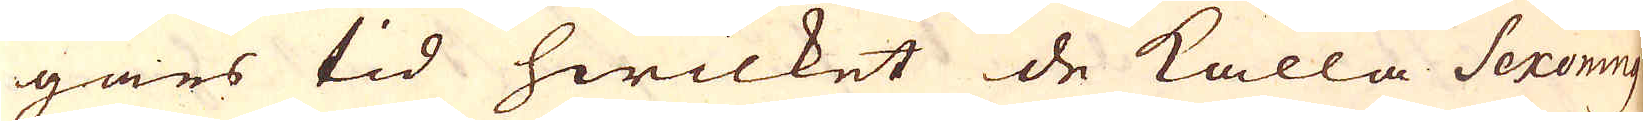gars tid hwilket de kalla Sexoning
